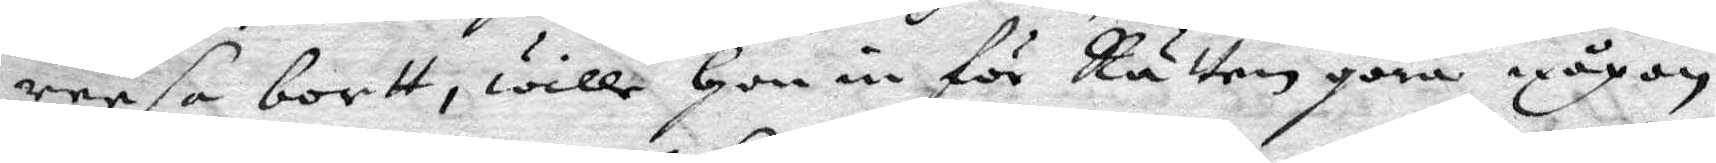reesa bortt, wille Hon in för Rätten göra någon
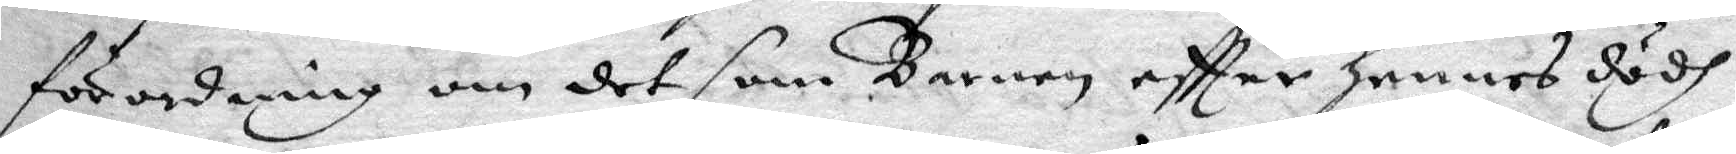förordning om det som Barnen eftter hennes dödh
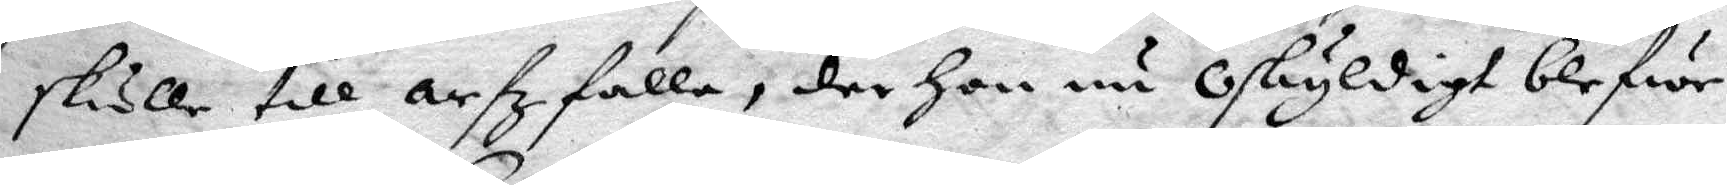skulle till Arfz falla, der Hon nu oskyldigt blefwe
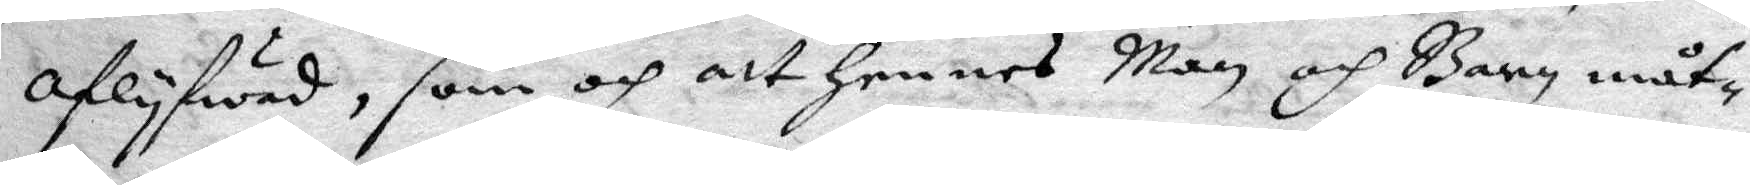aflyfwad, som och att Hennes Man och Barn måt¬
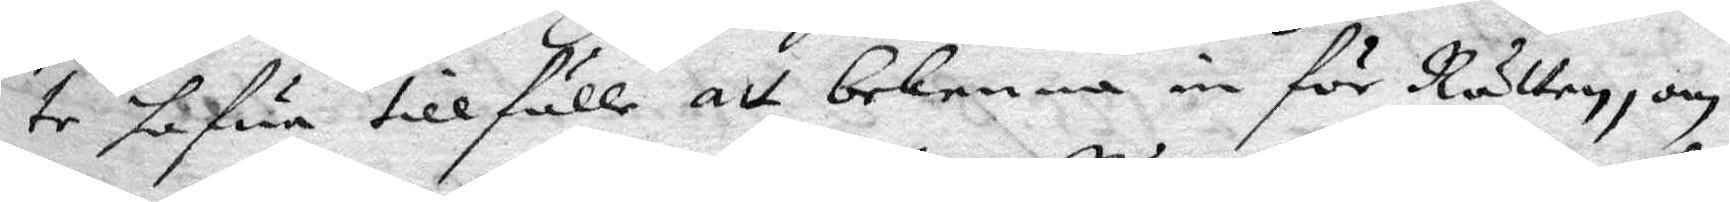te hafwa tillfälle att bekenna in för Rätten, om
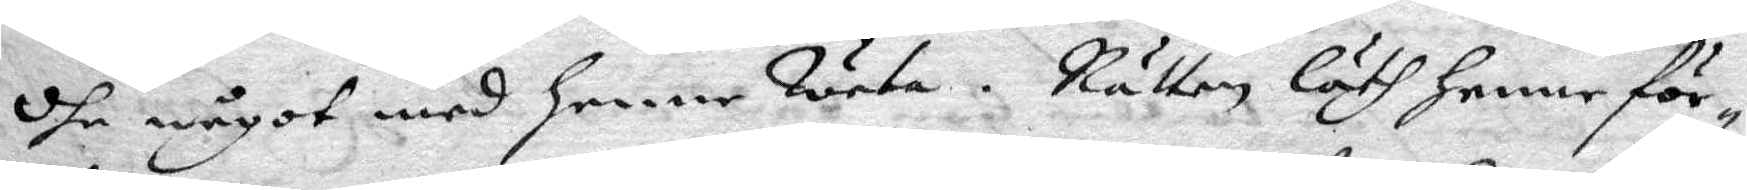dhe något med Henne weta, Rätten läth henne för¬
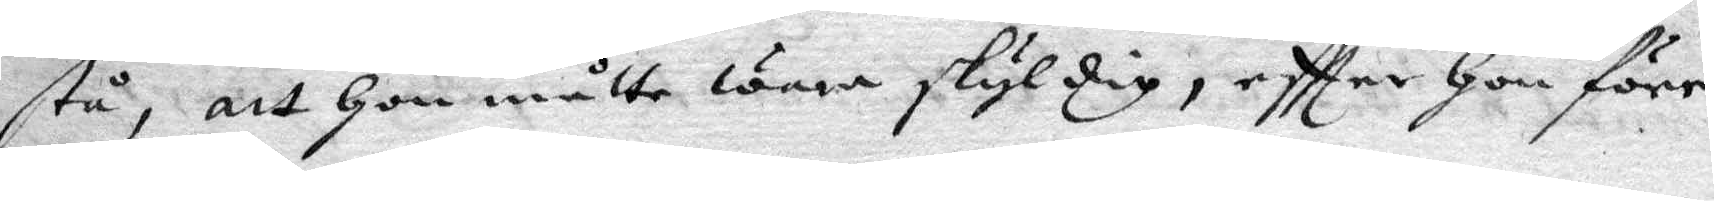stå, att Hon måtte wara skyldig, eftter Hon före
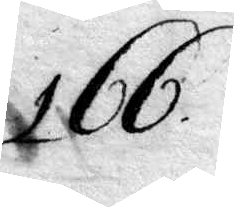166.
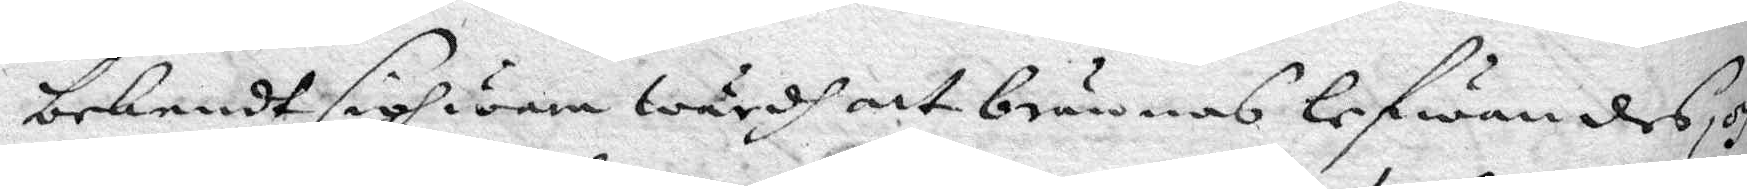bekendt sigh wara wärdh att brännas lefwandes, och
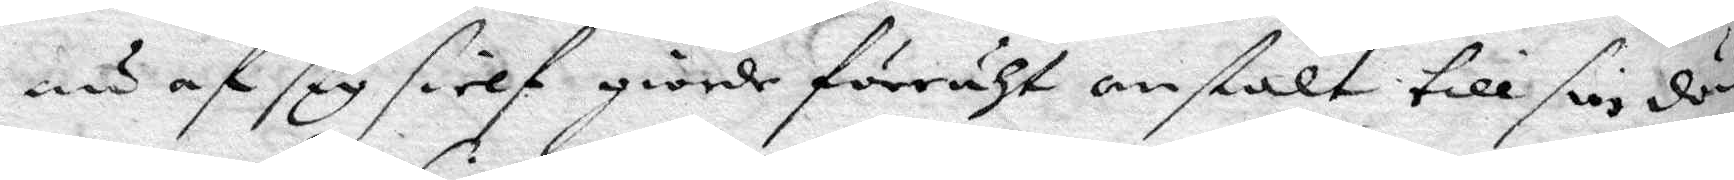nu af sig sielf, giorde förruht anstalt till sin död,
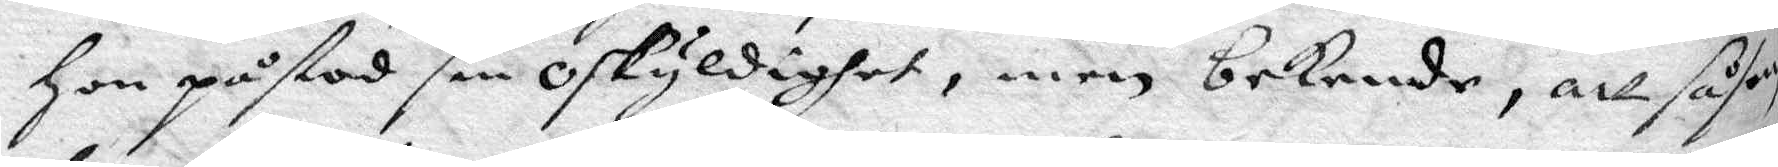Hon påstod sin oskyldighet, men bekende, att såsom
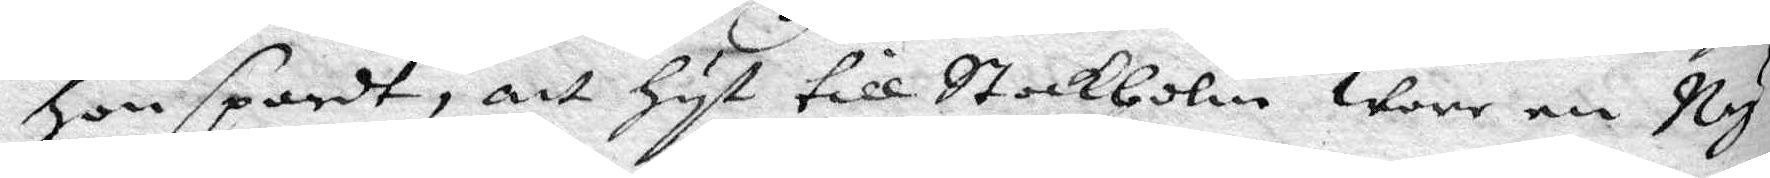hon spordt, att hyt till Stockholm wore en Ny
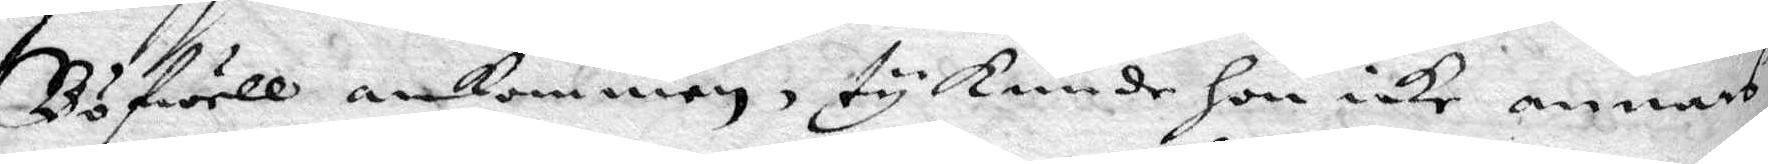Böfwell ankommen, ty kunde hon icke annat
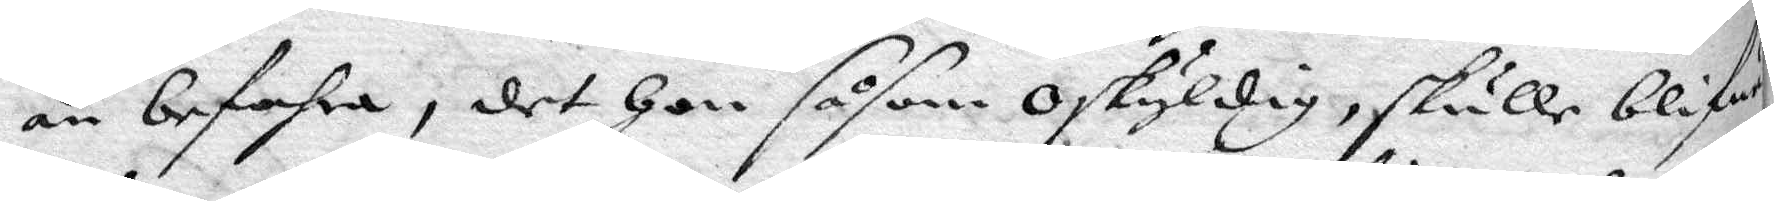än befahra, det Hon såsom oskyldig, skulle blifwa
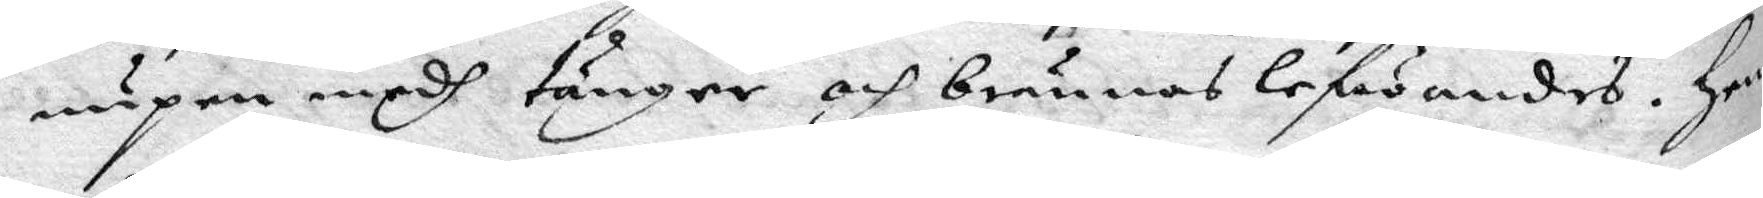nupen medh tänger och brännas lefwandes. Hen¬
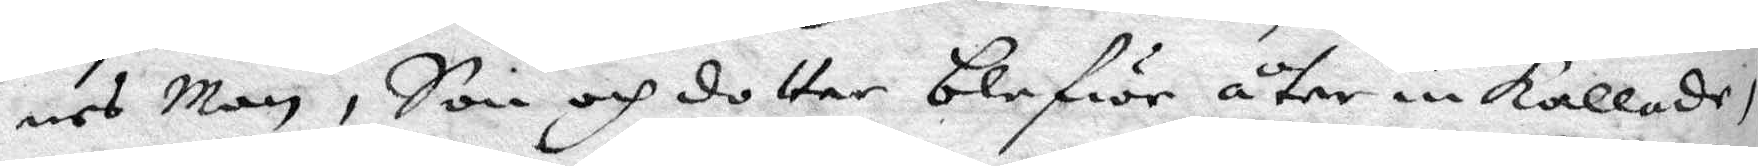nes Man, Son och dotter blefwe åter inkallade,
